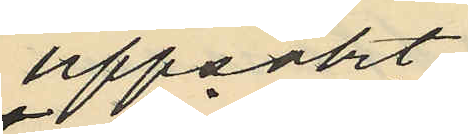uppsökt
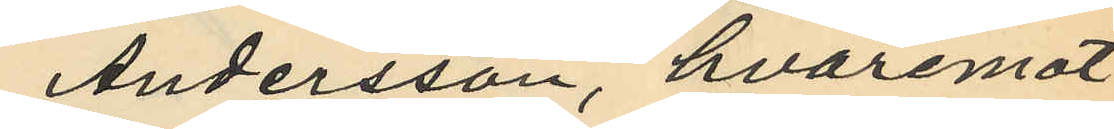Andersson, hvaremot
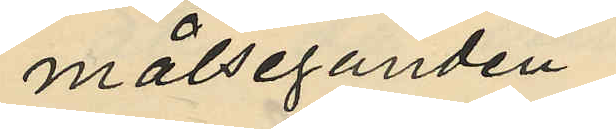målseganden
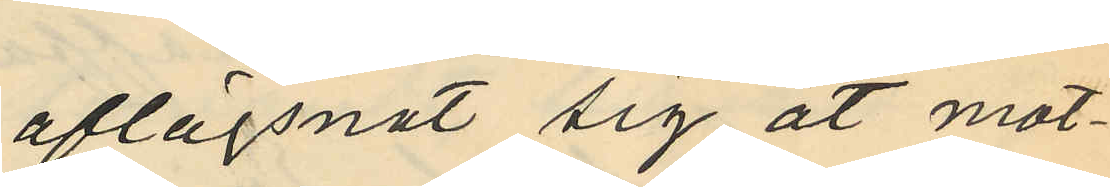aflägsnat sig åt mot¬
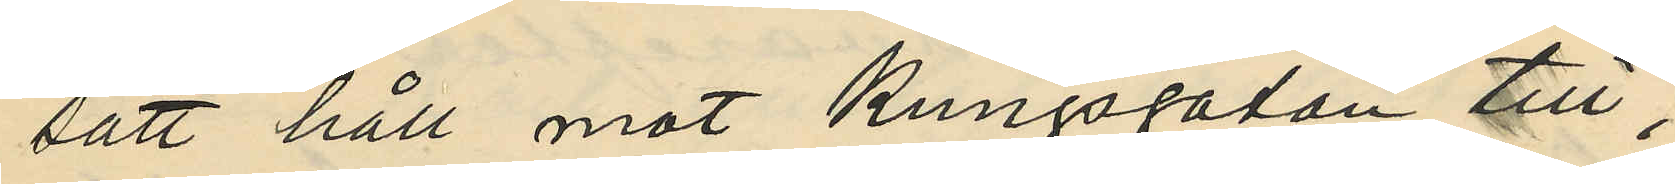satt håll mot Kungsgatan till,
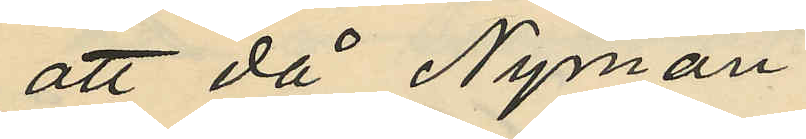att då Nyman
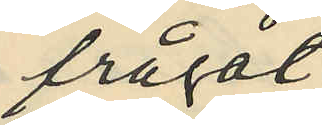frågat
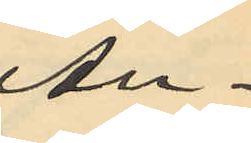An¬
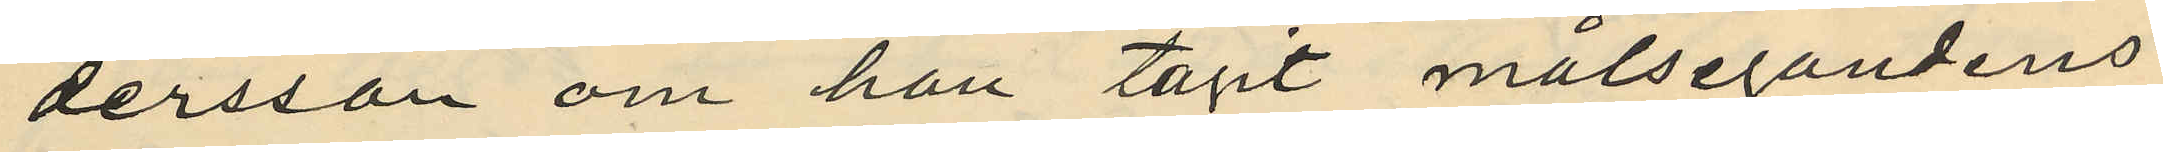dersson om han tagit målsegandens
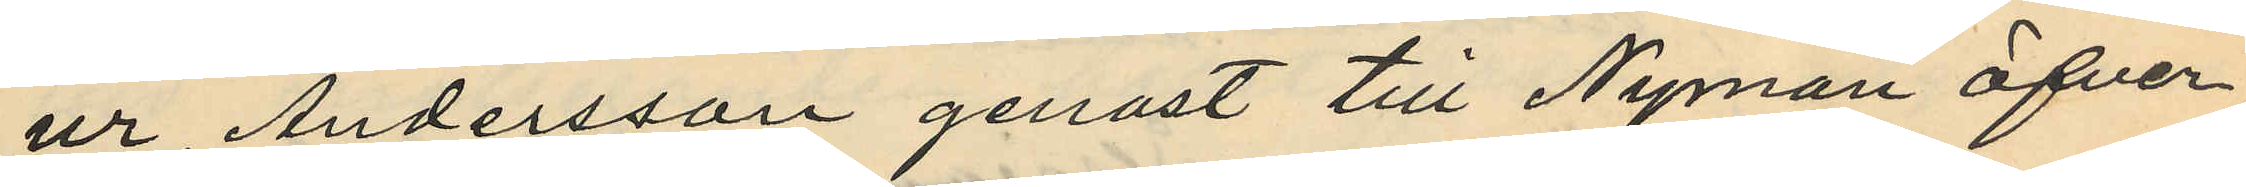ur, Andersson genast till Nyman öfver¬
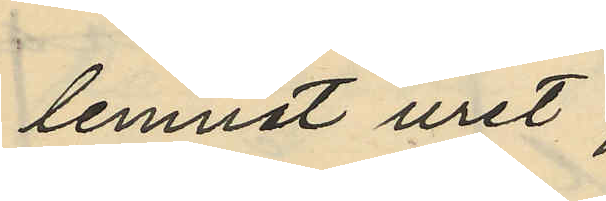lemnat uret;
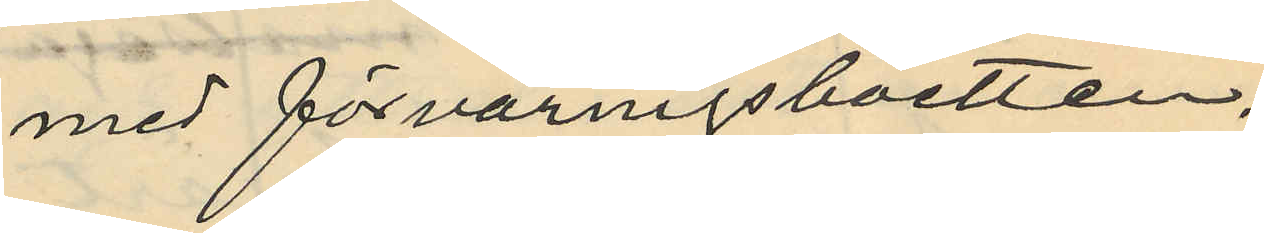med förvaringsboetten,
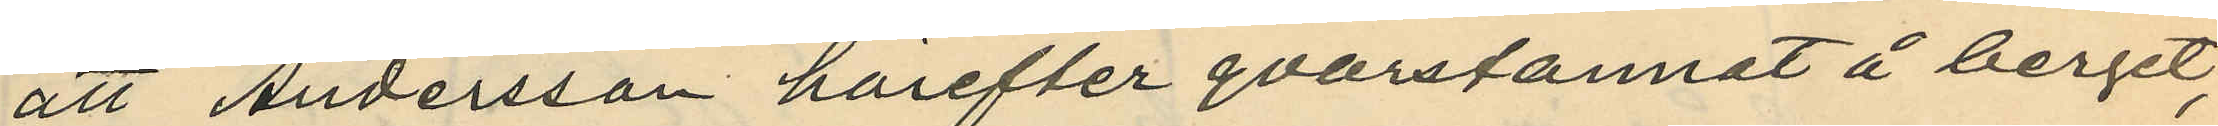att Andersson härefter qvarstannat å berget,
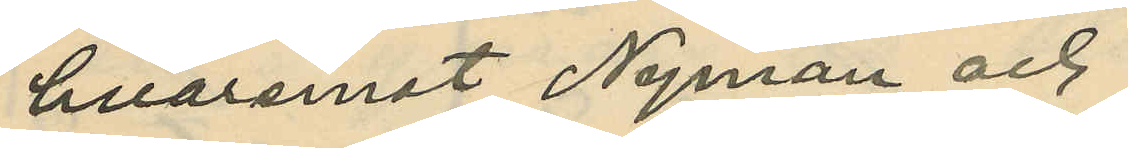hvaremot Nyman och
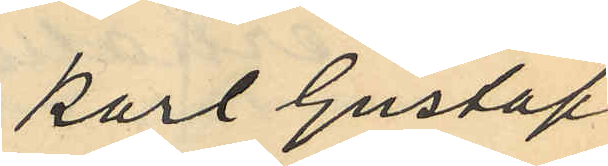Karl Gustaf
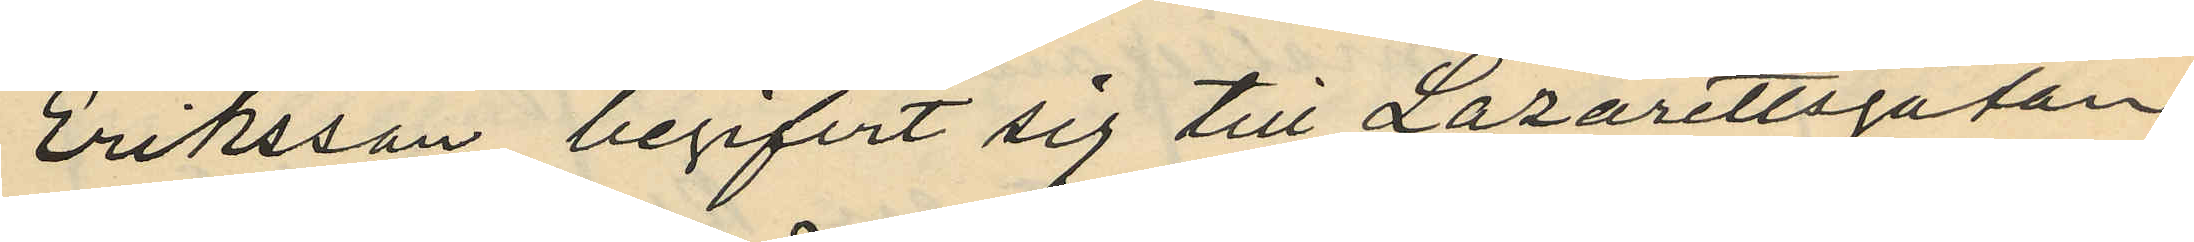Eriksson begifvit sig till Lazarettsgatan
